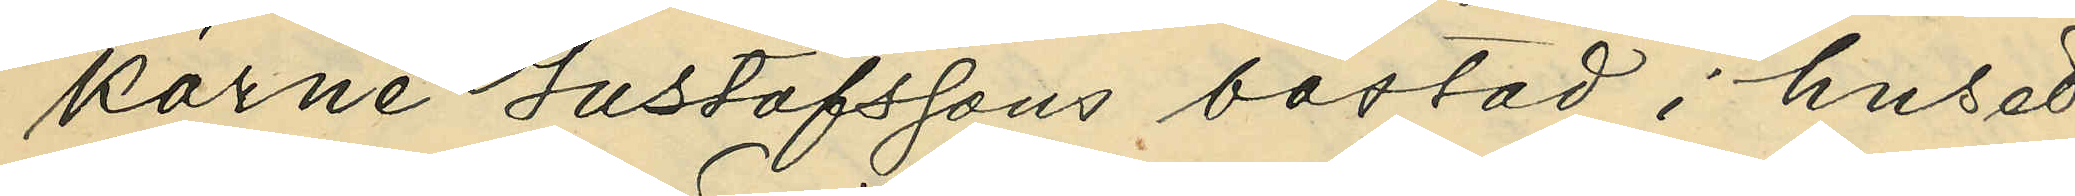karne Gustafssons bostad i huset
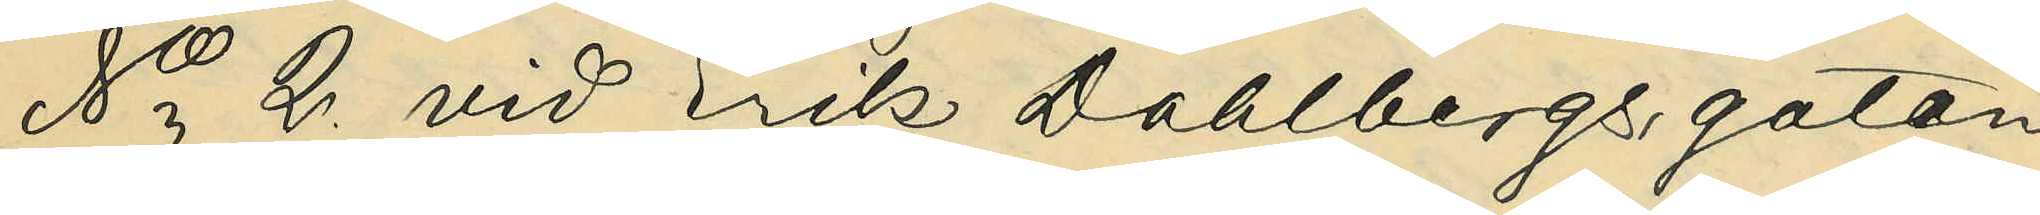No 2. vid Erik Dahlbergsgatan
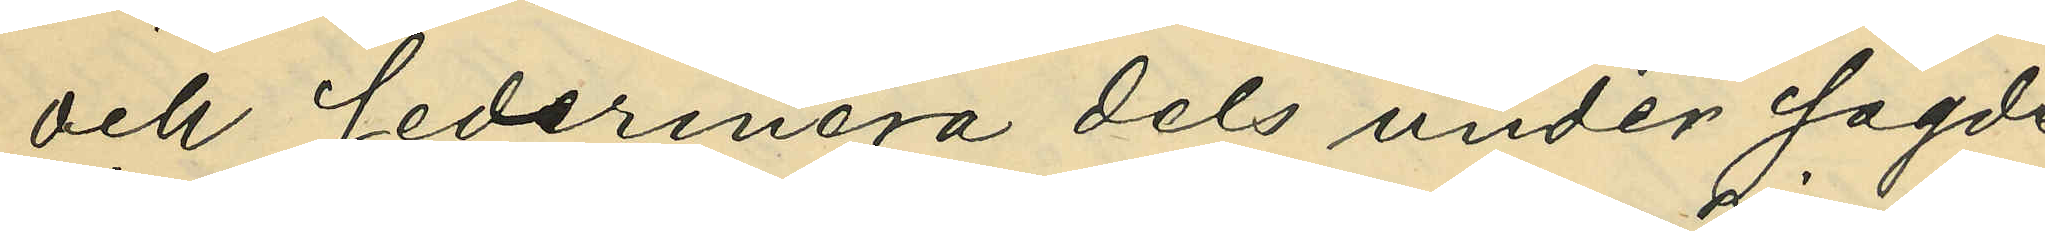och sedermera dels under sagde
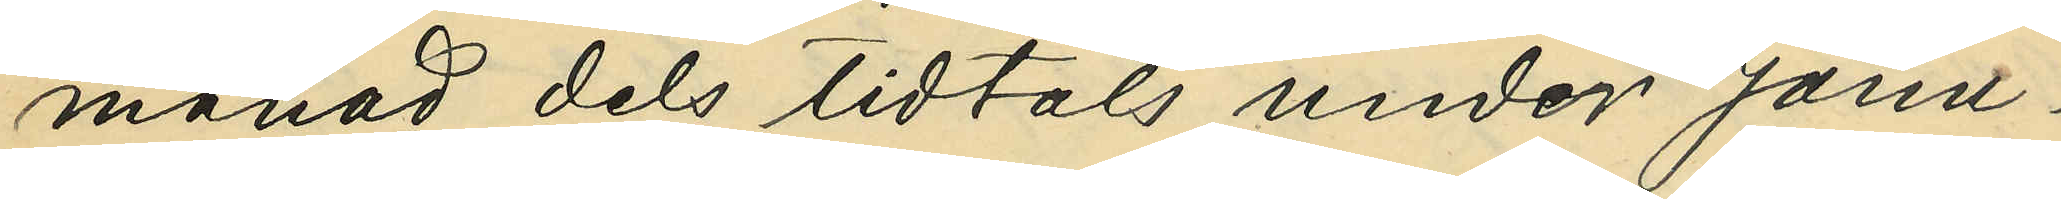månad dels tidtals under Janu¬
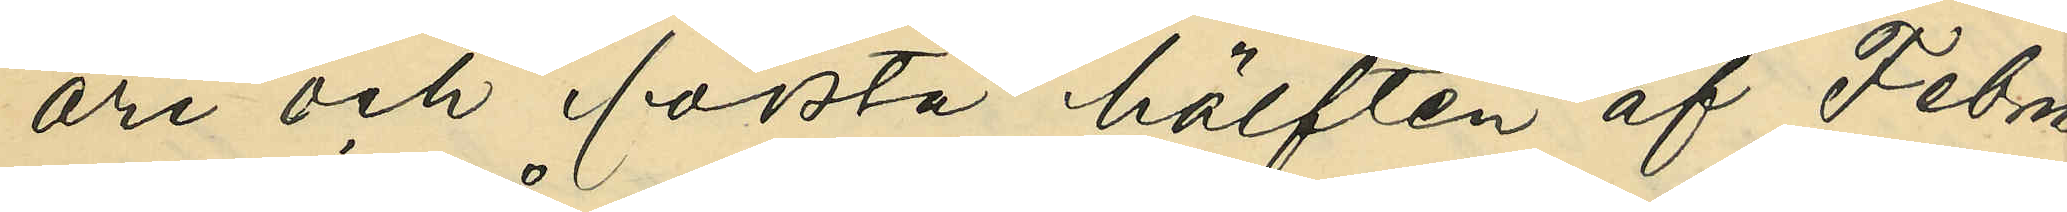ari och första hälften af Febru¬
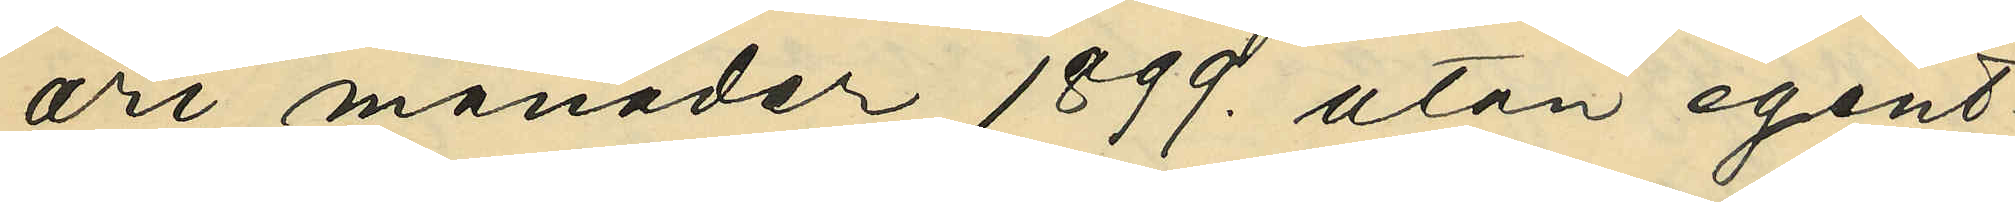ari månad 1899. utan egent¬
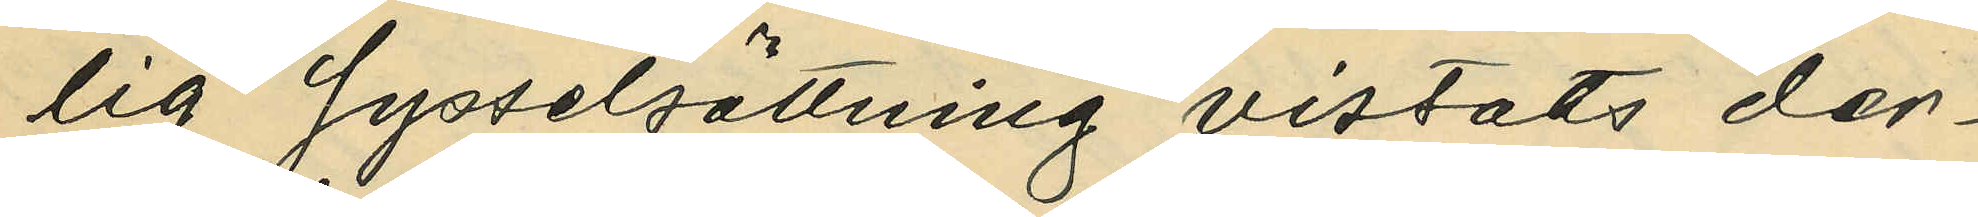lig sysselsättning vistats der¬
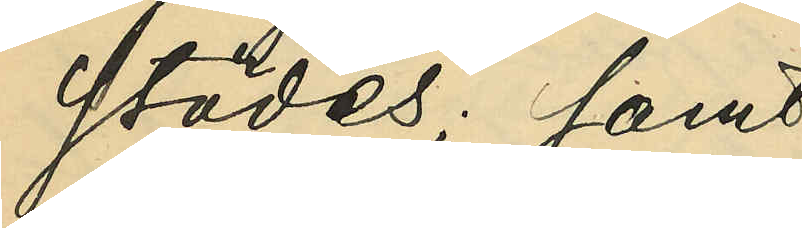städes; samt
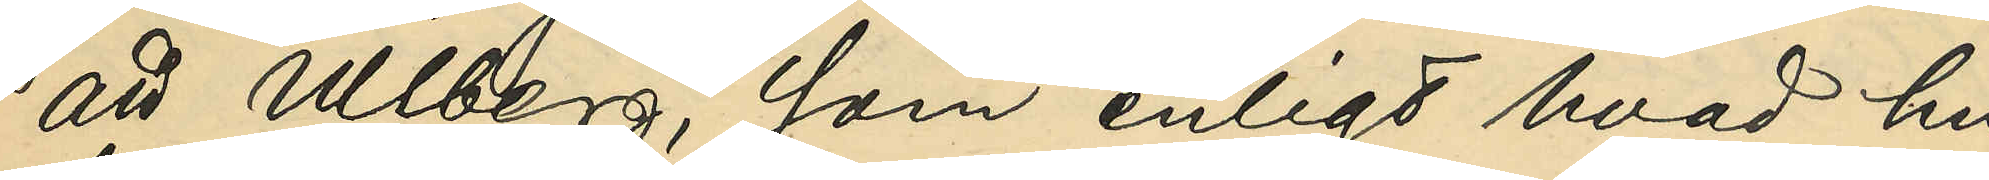att Ullberg, som enligt hvad hu¬
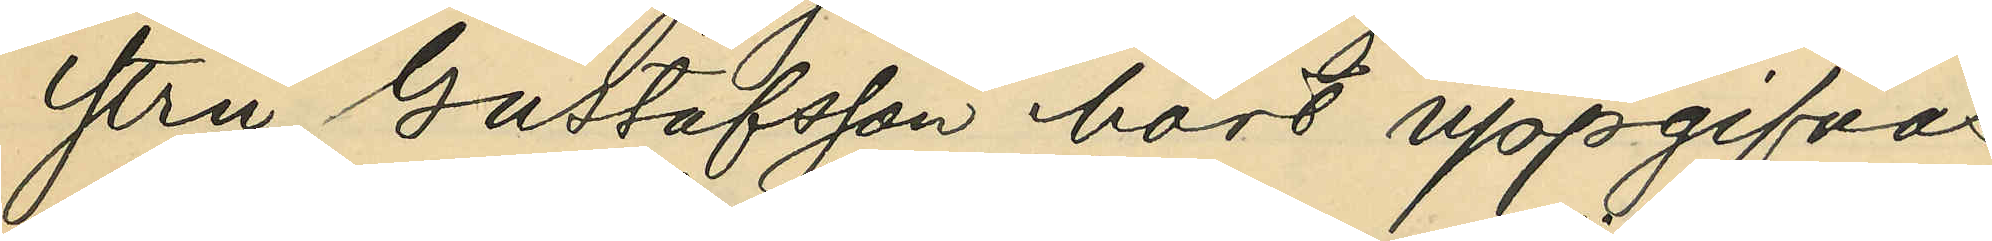stru Gustafsson hört uppgifvas
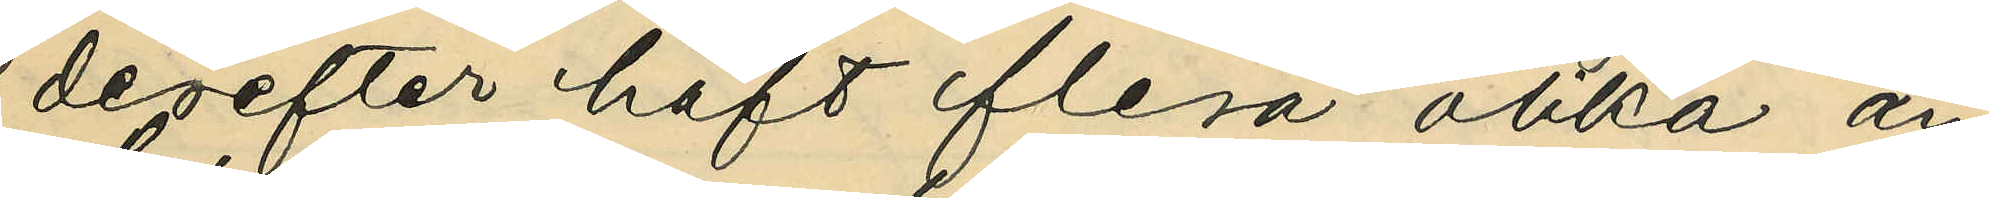derefter haft flera olika an¬
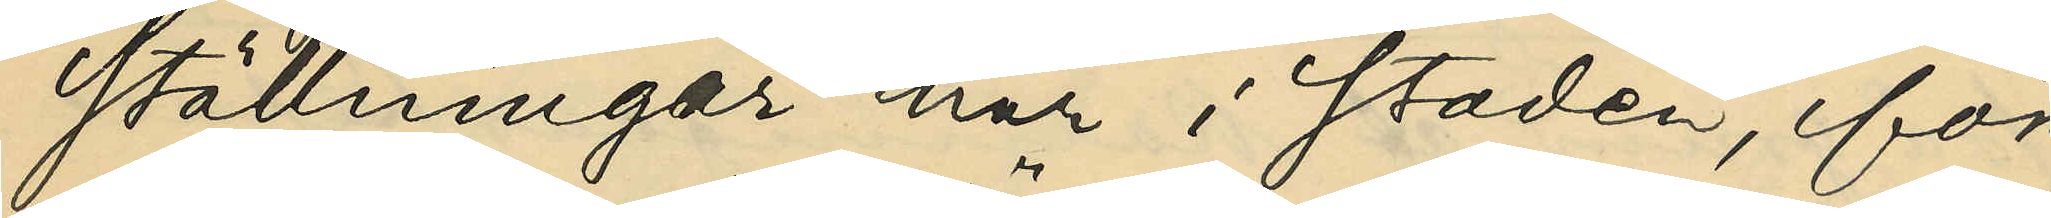ställningar här i staden, för
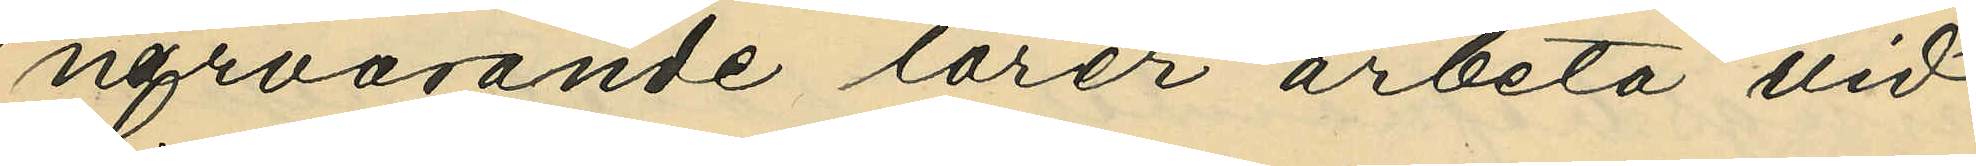närvarande lärer arbeta vid
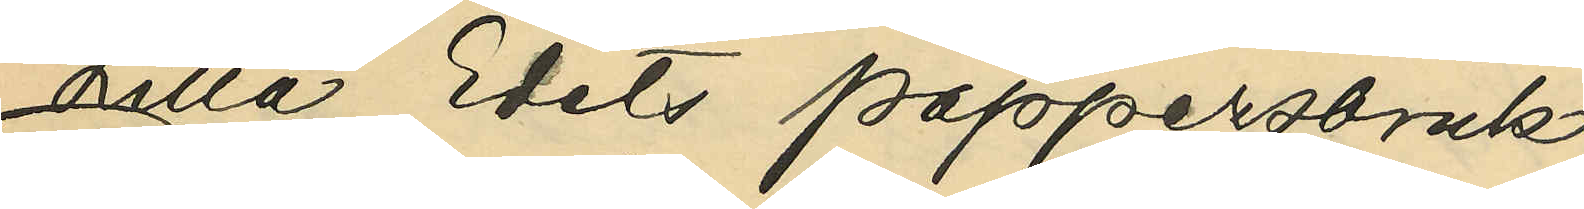Lilla Edets pappersbruk;
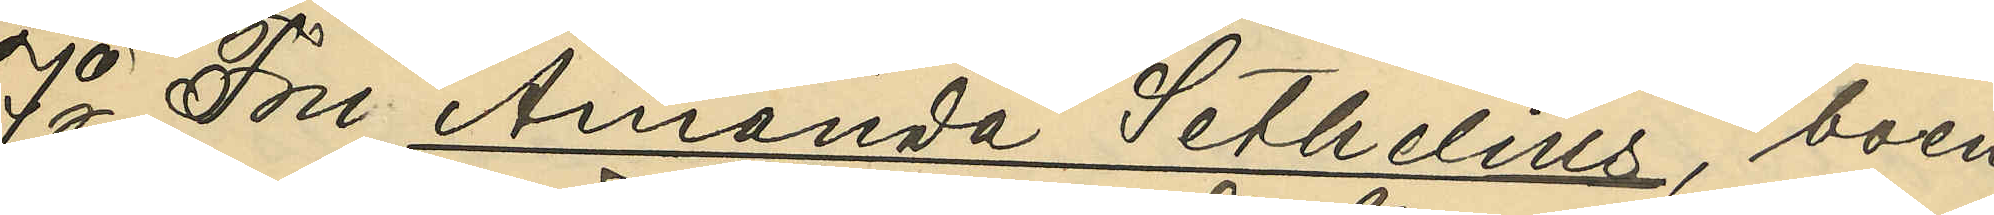7o Fru Amanda Sethelius, boen¬
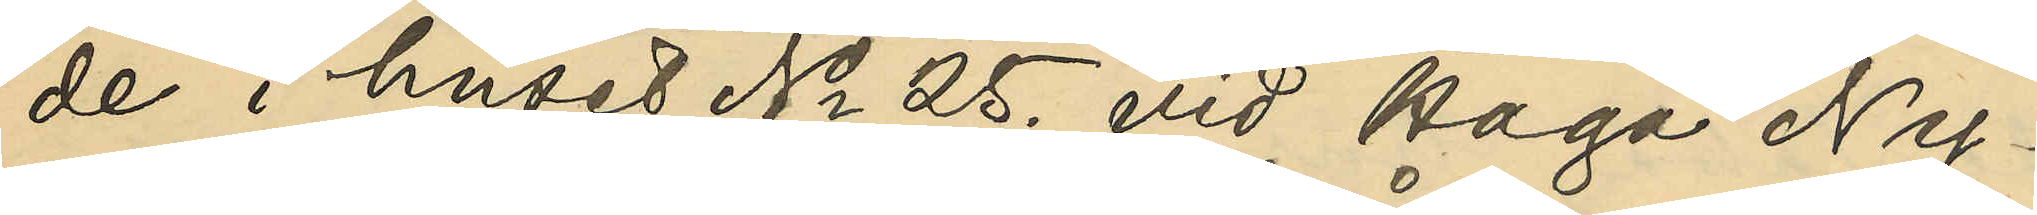de i huset No 25. vid Haga Ny¬
